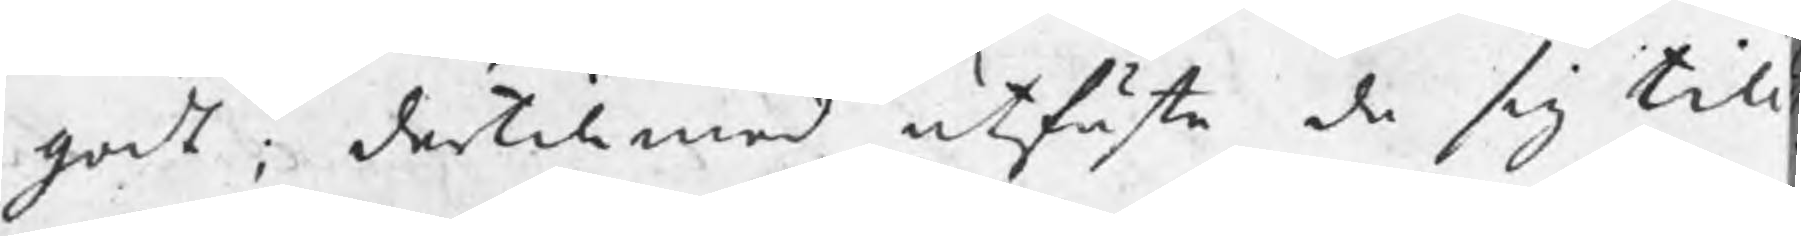godt; dertill med utfäste de sig till
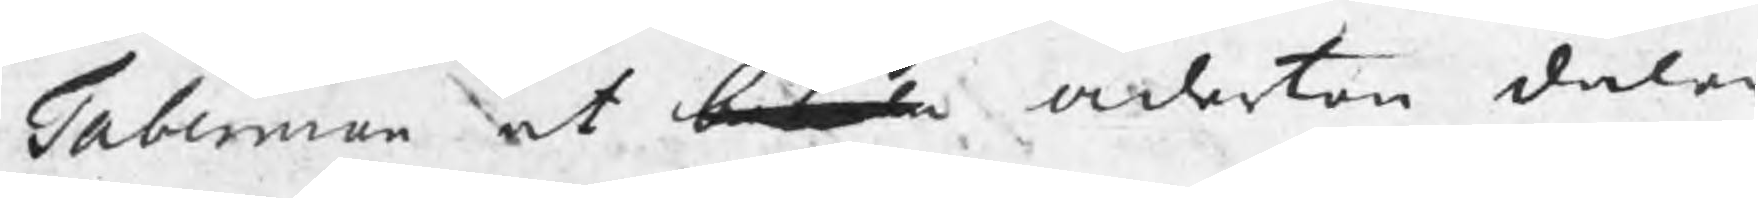taberman at betala aderton daler
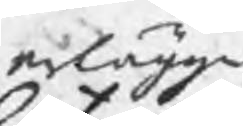erlägga
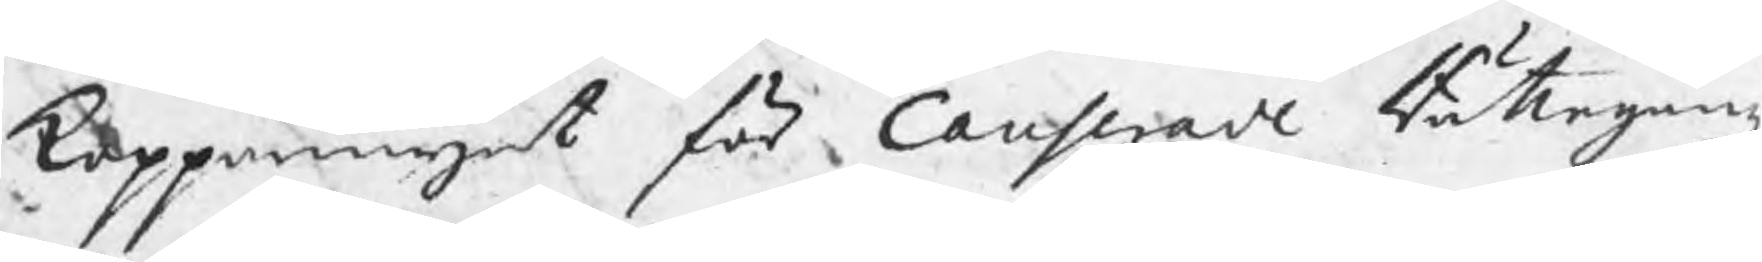kopparmynt för Causserade Rättegångz
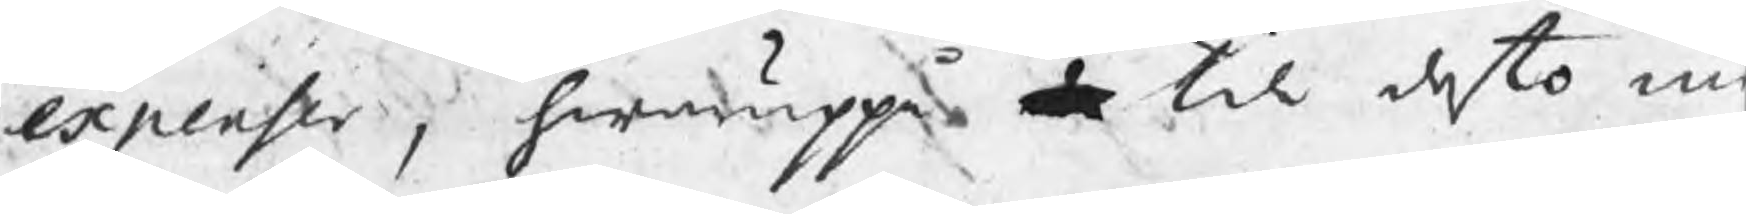expenser, hwaruppå de til desto m
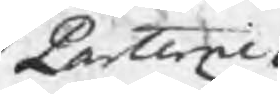Parterne
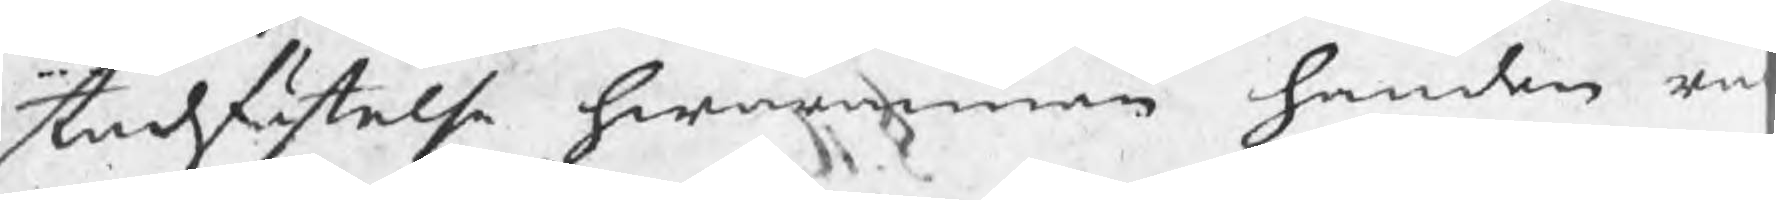stadfästelse hwarannan handen en
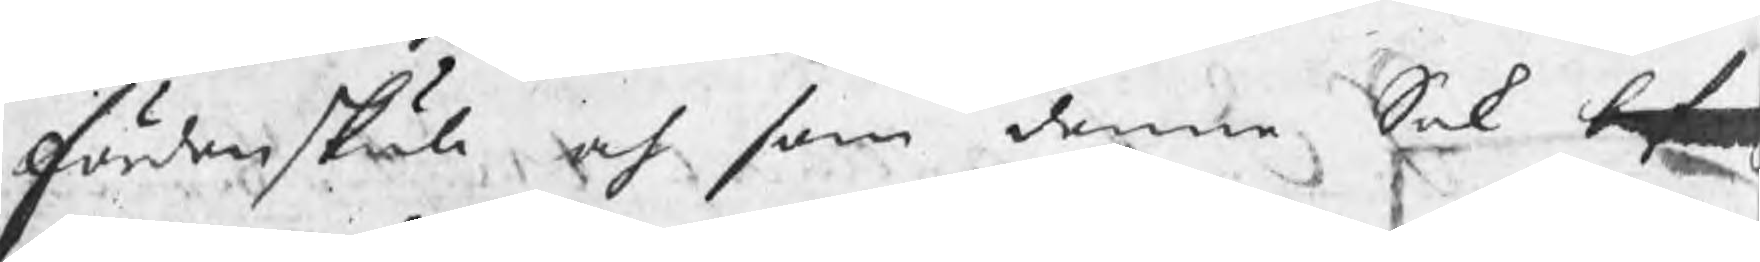fördenskull och som denne Sak bef
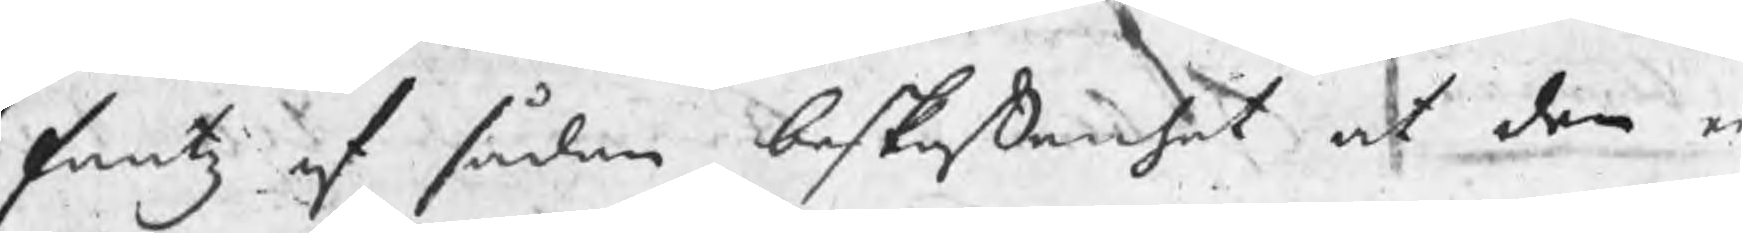fantz af sådan beskaffenhet at den e
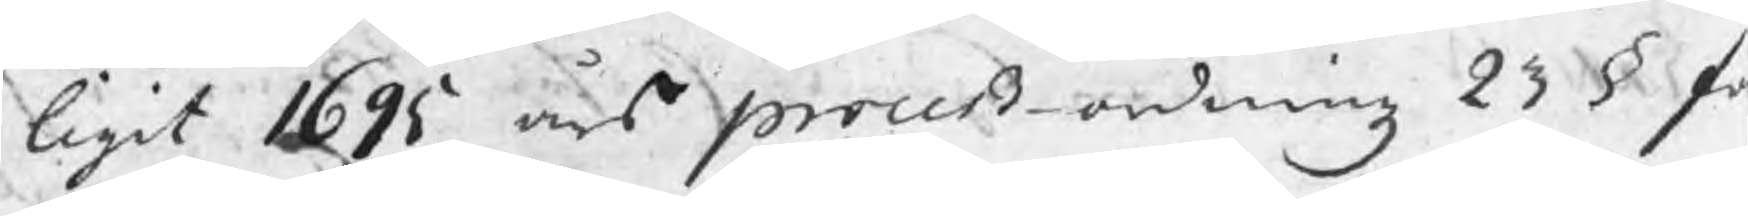ligit 1695 års proceß-ordningz 23 § f
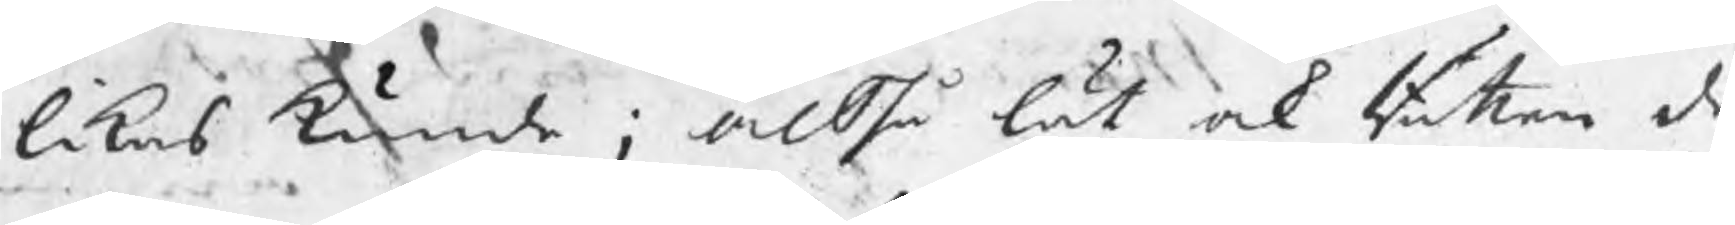likas kunde; altså lät ock Rätten de
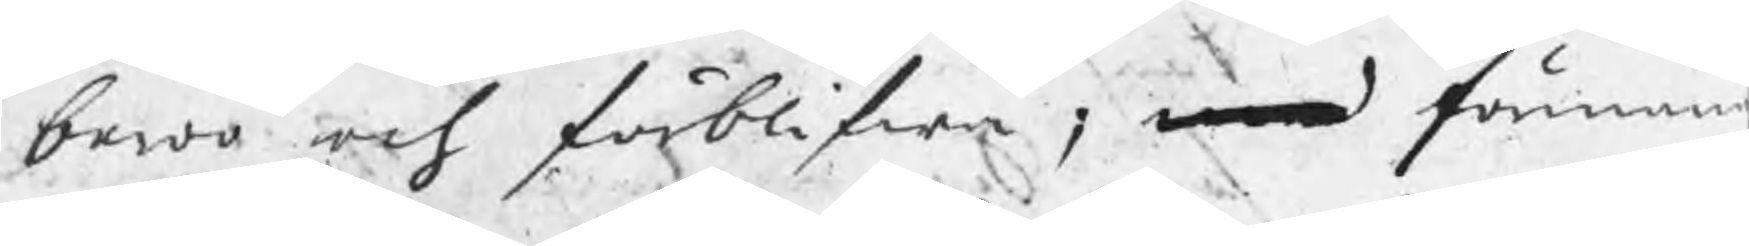beroo och förblifwa; med förman
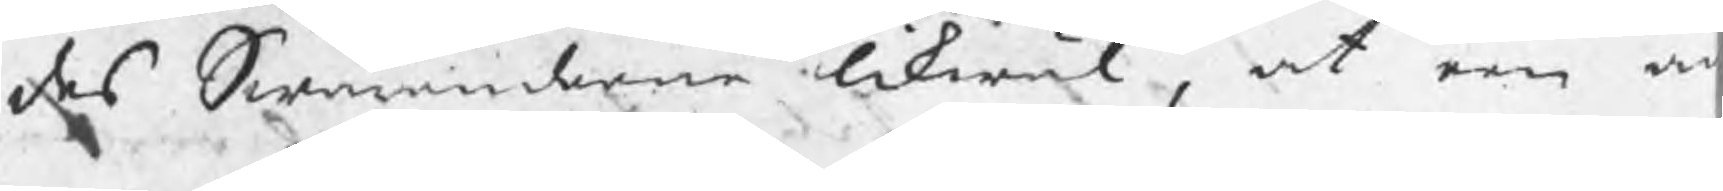des Swaranderne likwäl, at een a
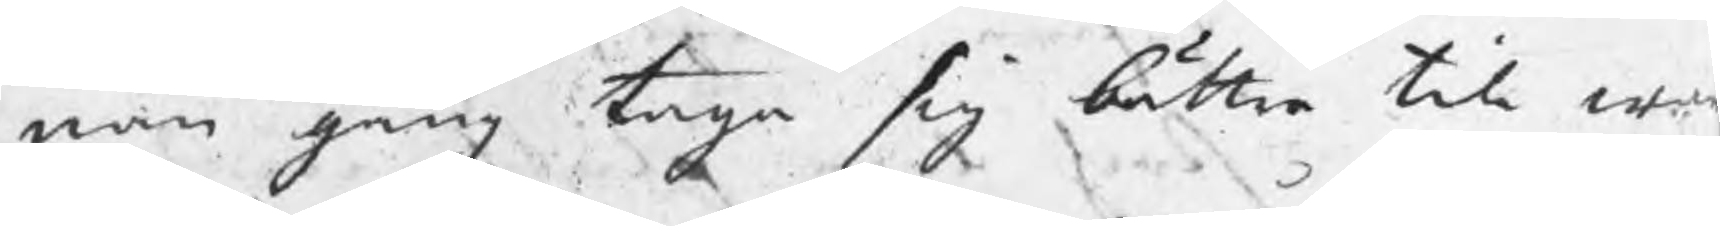nan gång taga sig bättre till wa
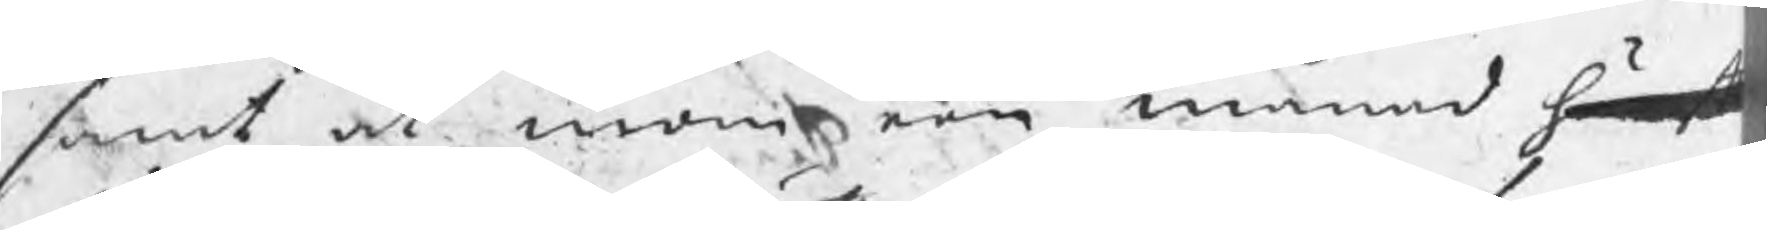samt at inom een månad häref
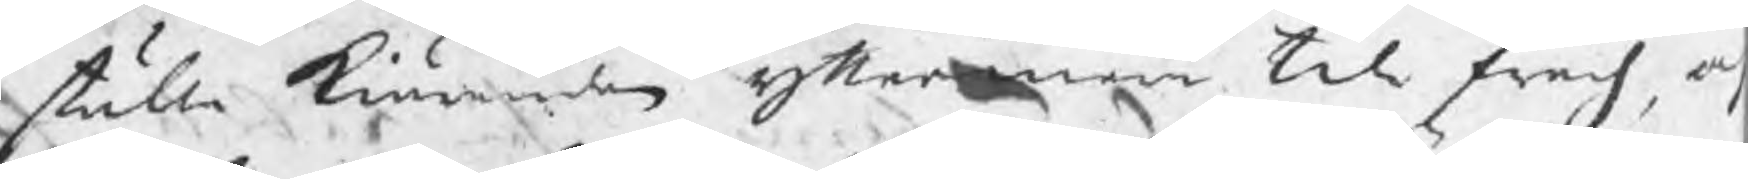ställa kiäranden yttermera till swars, o
